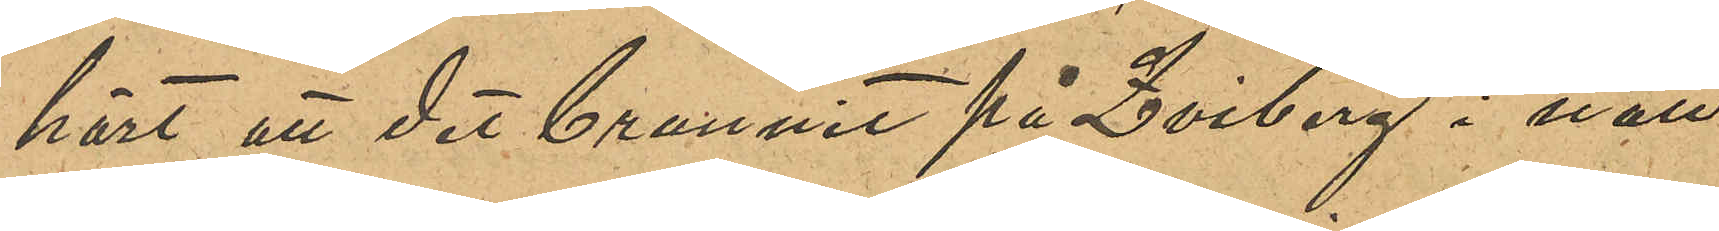hört att det brunnit på Qviberg i natt
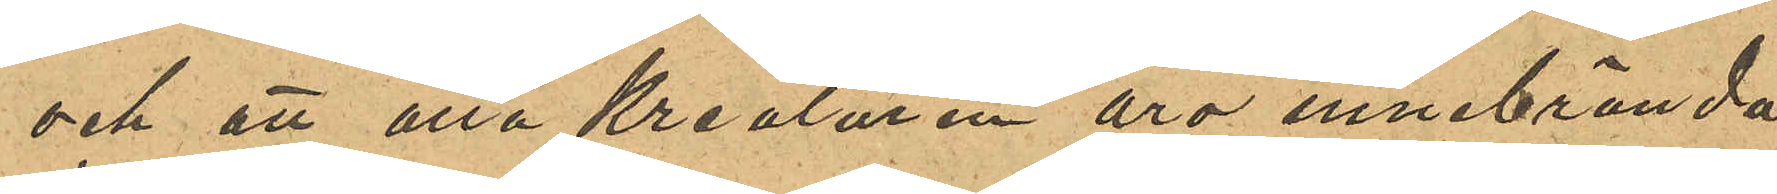och att alla kreaturen äro innebrända"
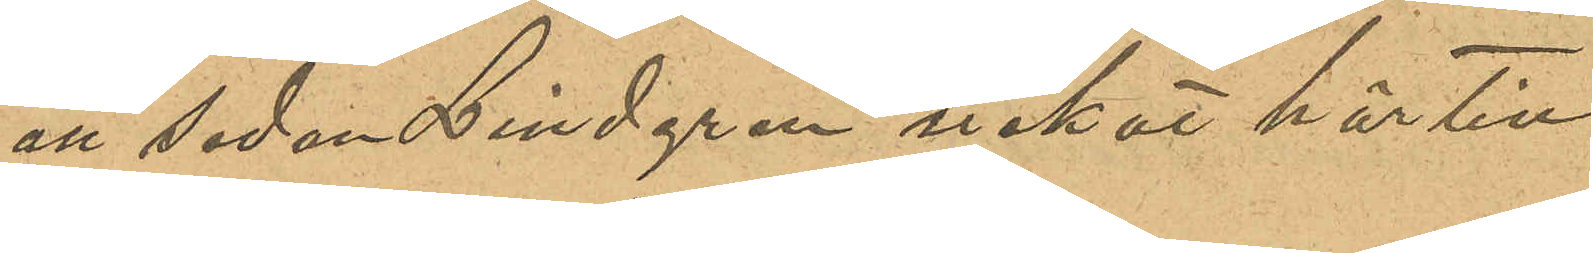att sedan Lindgren nekat härtill
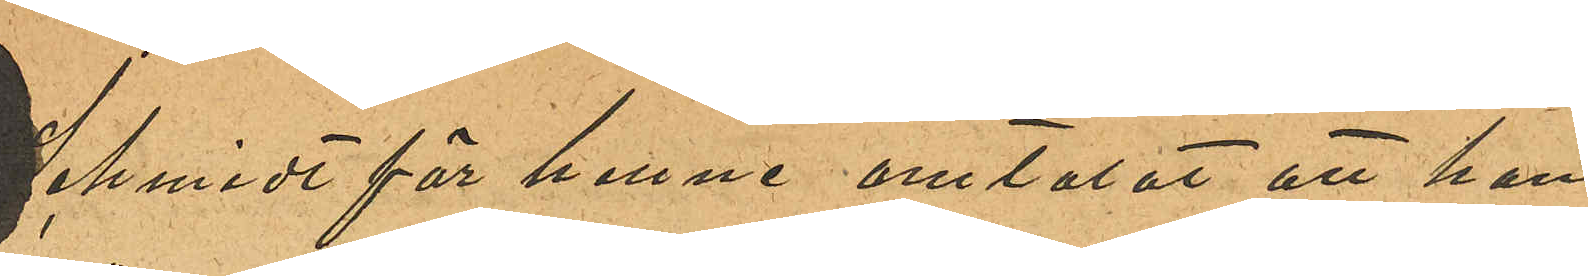Schmidt för henne omtalat att han
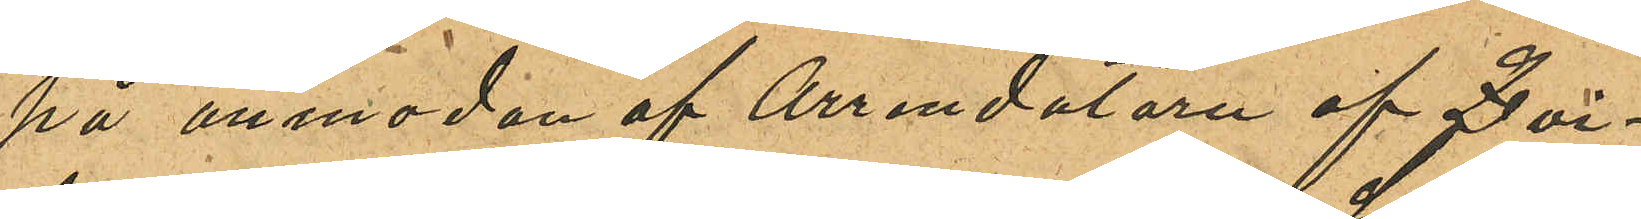på anmodan af Arrendatorn af Qvi¬
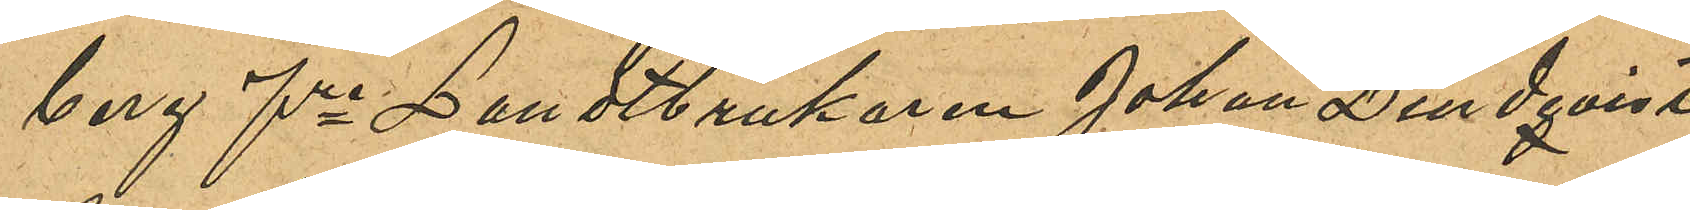berg fre Landtbrukaren Johan Lindqvist
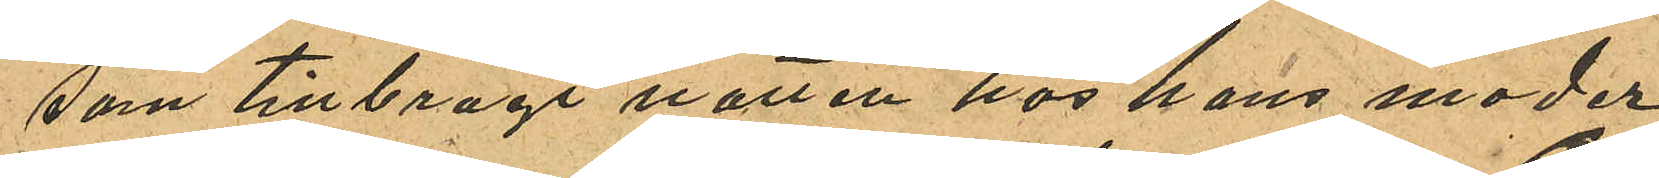som tillbragt natten hos sin moder,
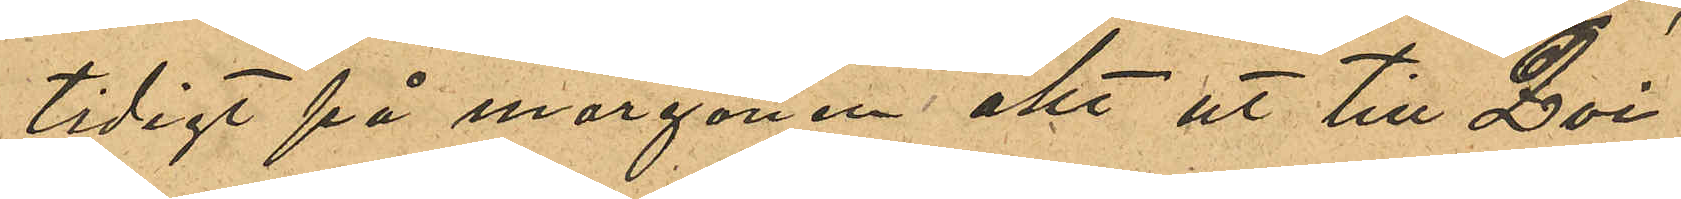tidigt på morgonen åkt ut till Qvi¬
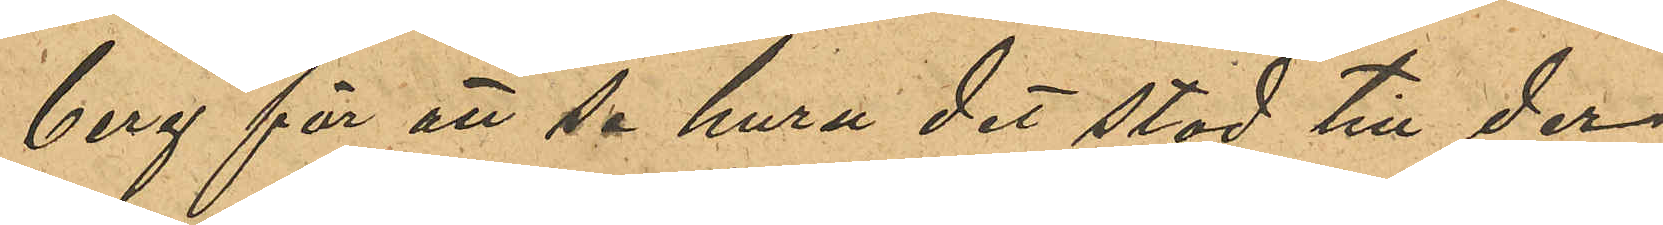berg för att se huru det stod till der,
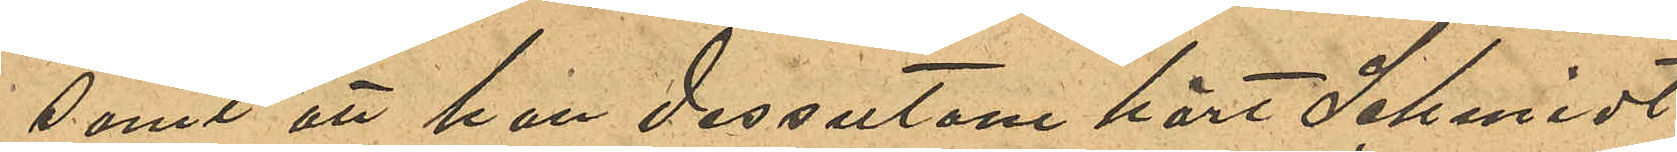samt att han dessutom hört Schmidt
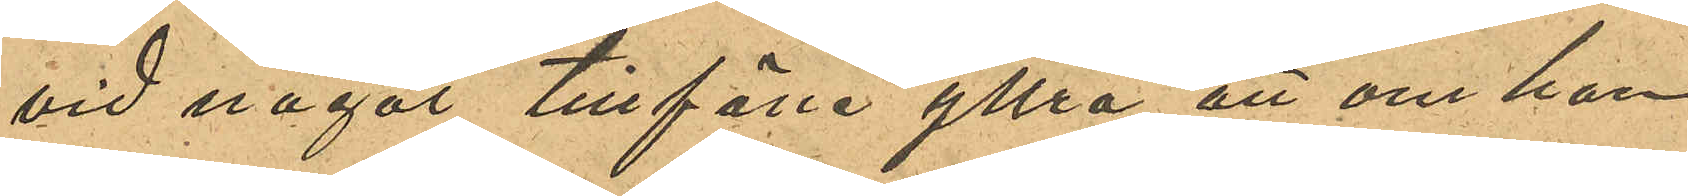vid något tillfälle yttra, att om han
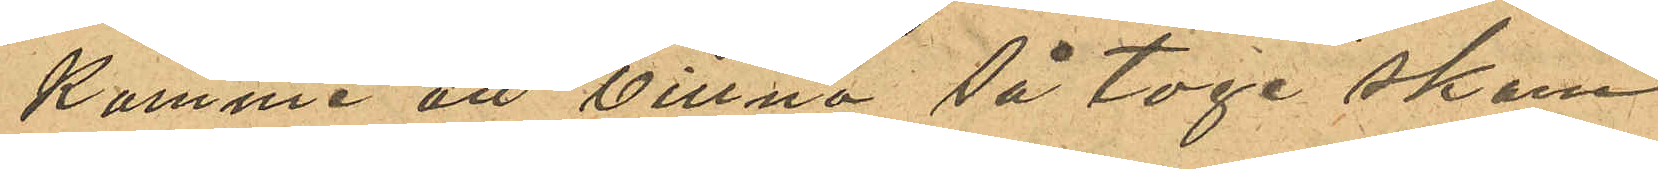komme att vittna så toge skam
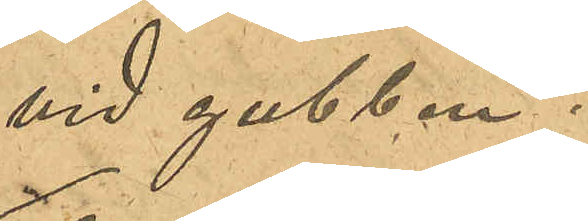vid gubben.
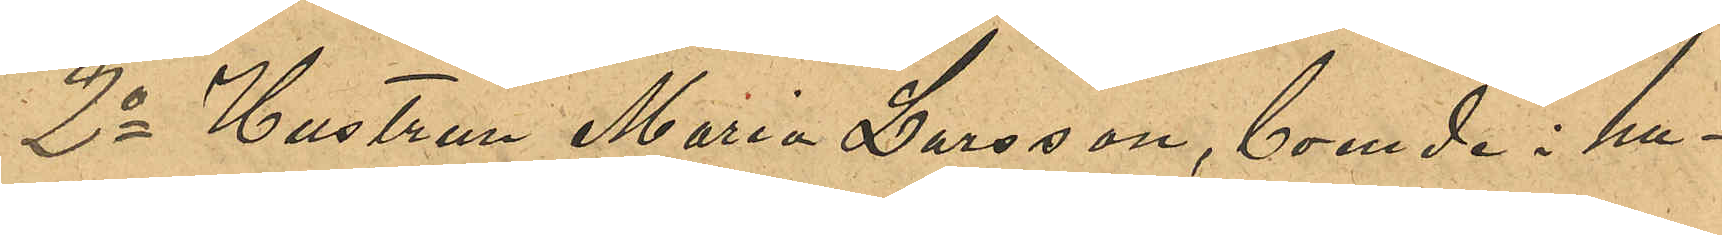2o Hustrun Maria Larsson, boende i hu¬
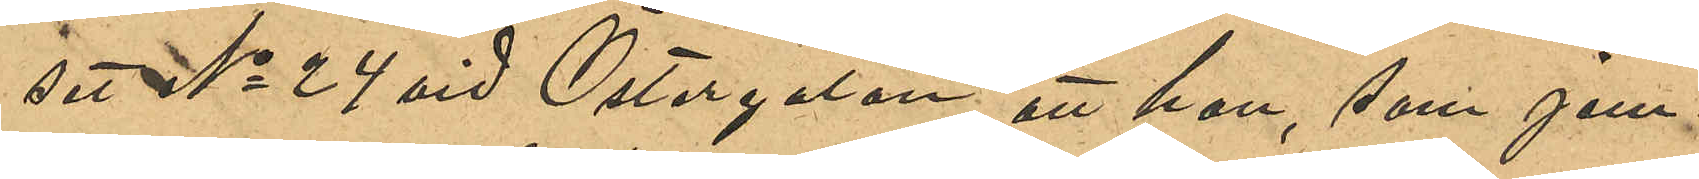set No 24 vid Östergatan; att hon, som jem¬
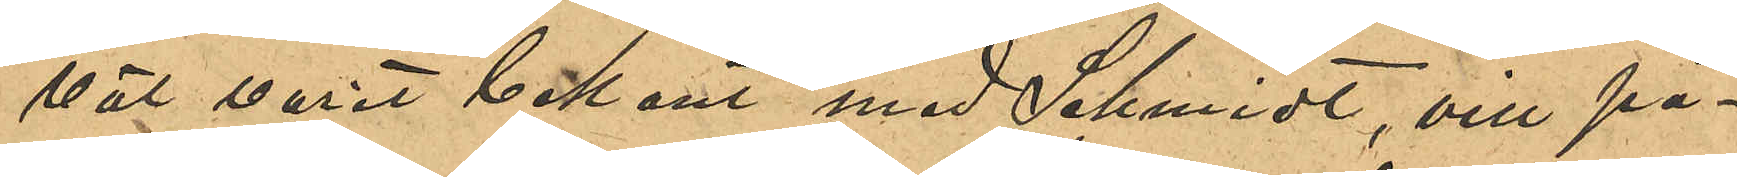väl varit bekant med Schmidt, vill på¬
